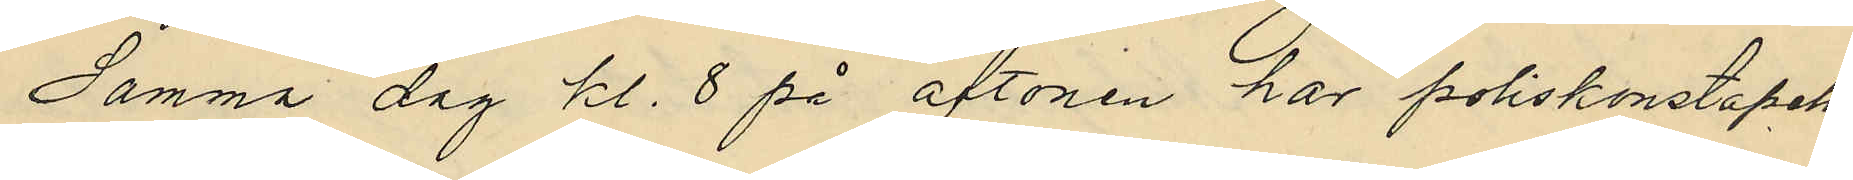Samma dag kl. 8 på aftonen har poliskonstapeln
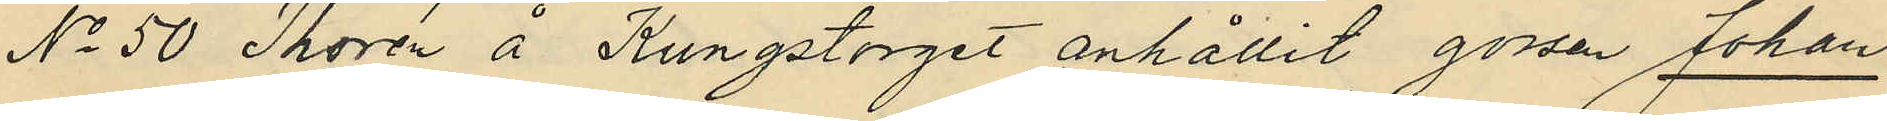No 50 Thorén å Kungstorget anhållit gossen Johan
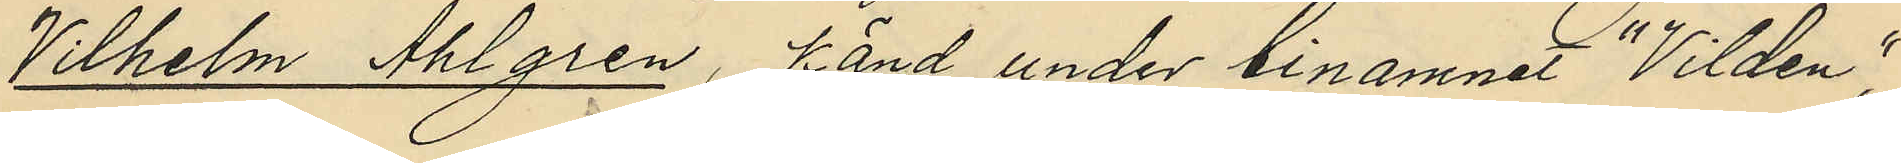Vilhelm Ahlgren, känd under binamnet "Vilden",
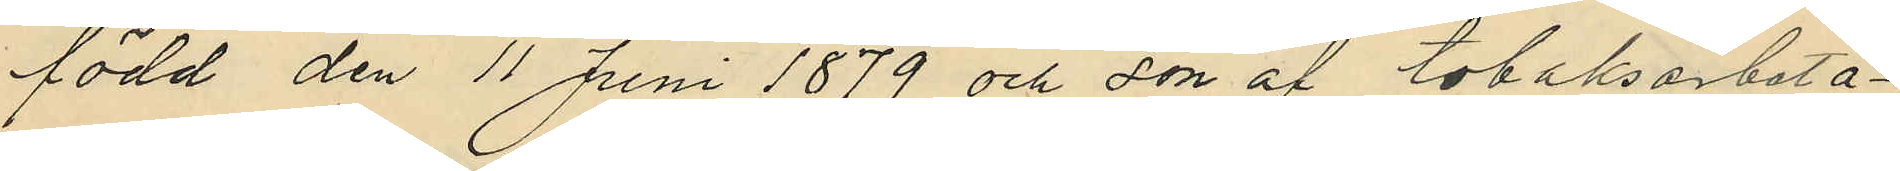född den 11 Juni 1879 och son af tobaksarbeta¬
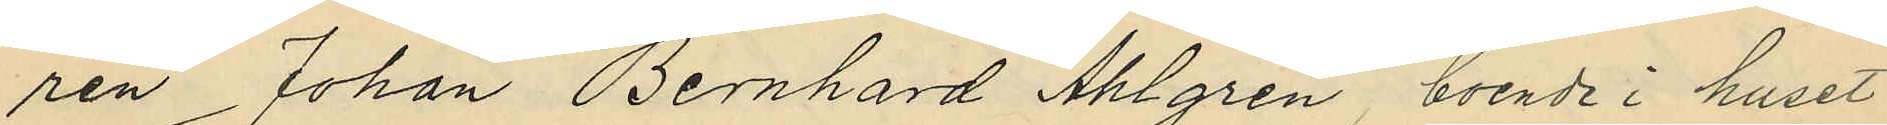ren Johan Bernhard Ahlgren, boende i huset
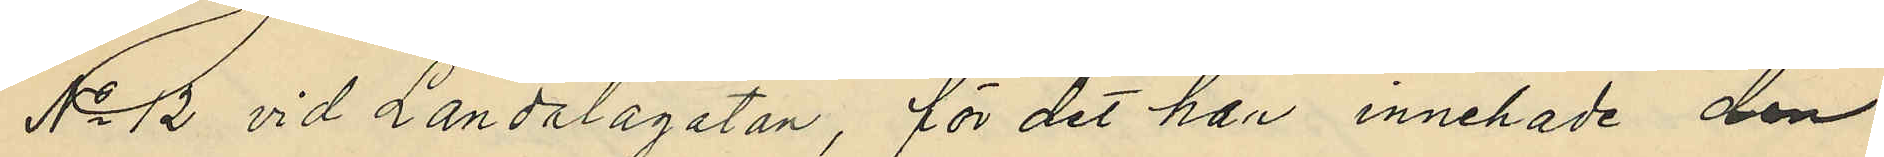No 12 vid Landalagatan, för det han innehade den
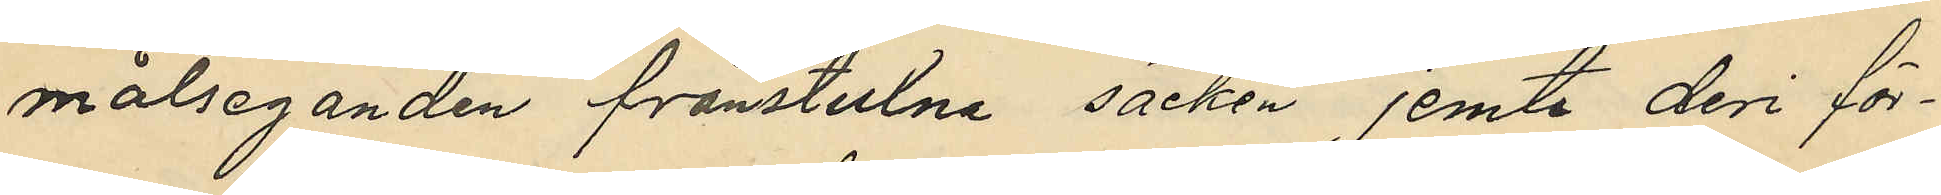målseganden frånstulna säcken, jemte deri för¬
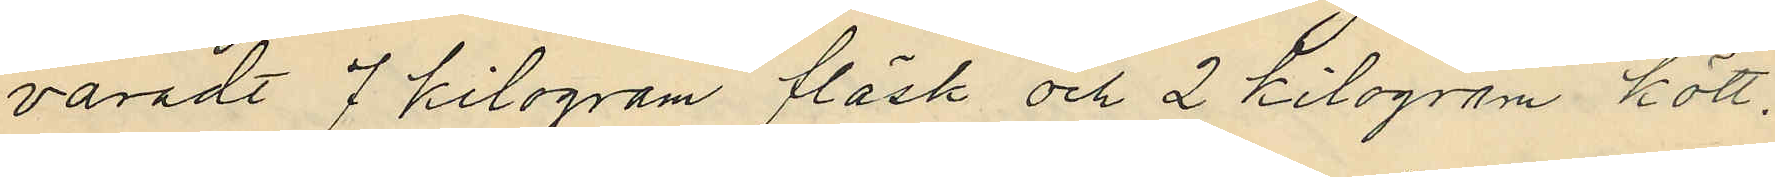varadt 7 kilogram fläsk och 2 kilogram kött.
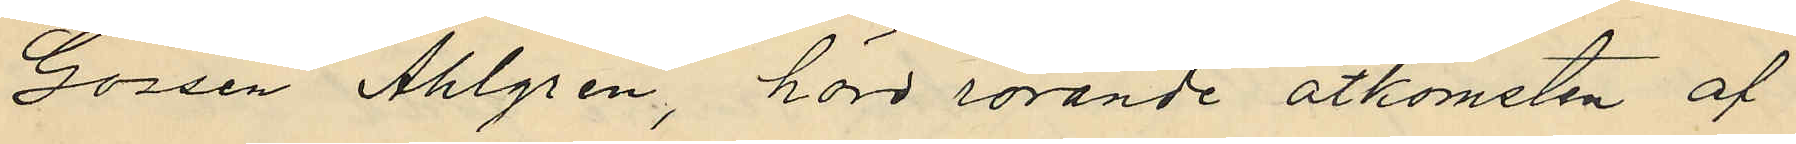Gossen Ahlgren, hörd rörande åtkomsten af
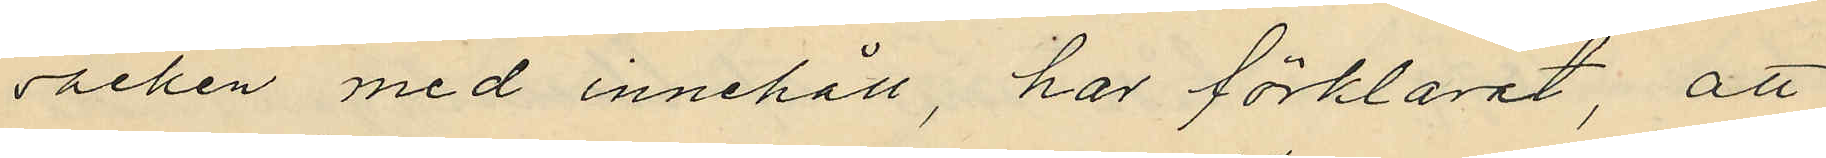säcken med innehåll, har förklarat, att
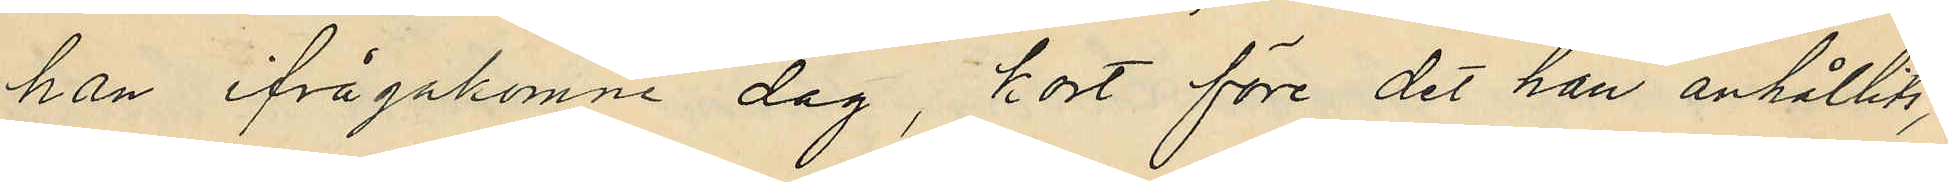han ifrågakomne dag, kort före det han anhållits
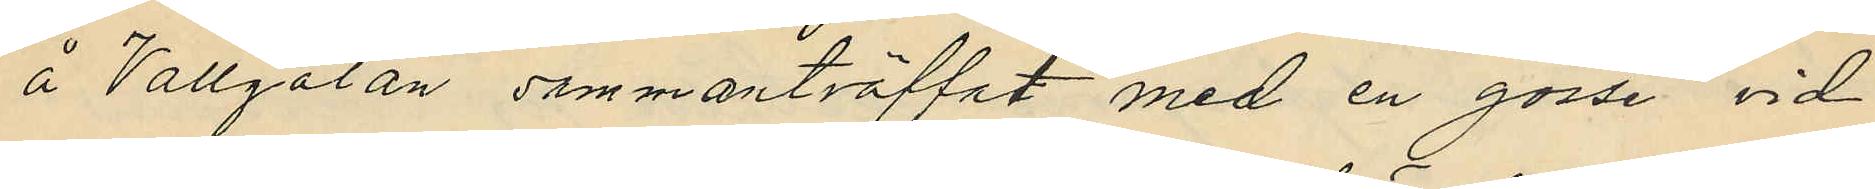å Vallgatan sammanträffat med en gosse vid
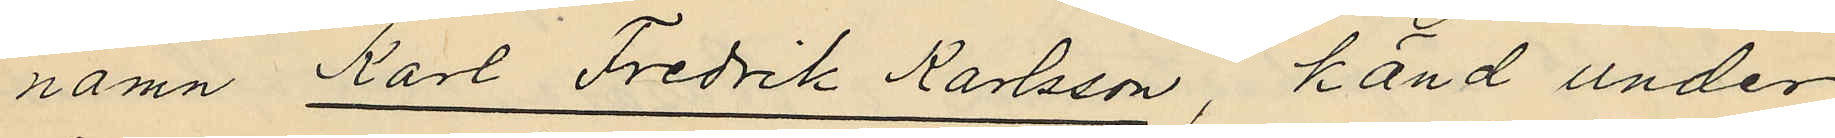namn Karl Fredrik Karlsson, känd under
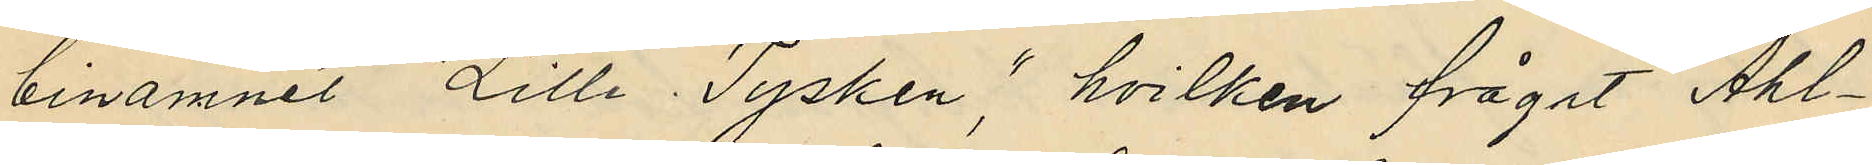binamnet "Lille Tysken", hvilken frågat Ahl¬
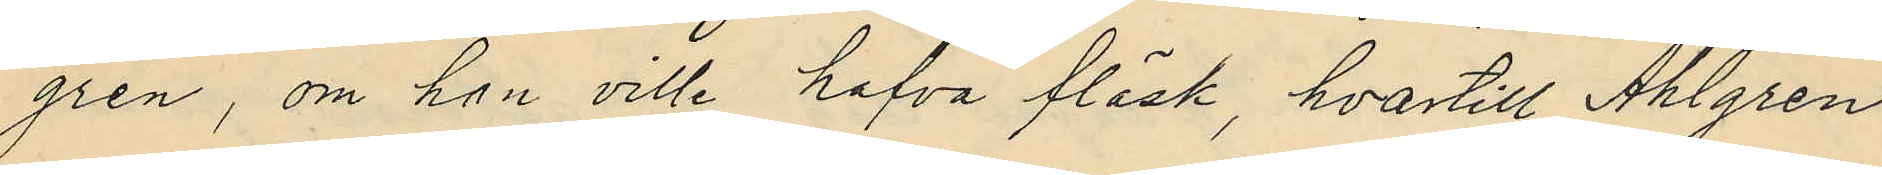gren, om hon ville hafva fläsk, hvartill Ahlgren
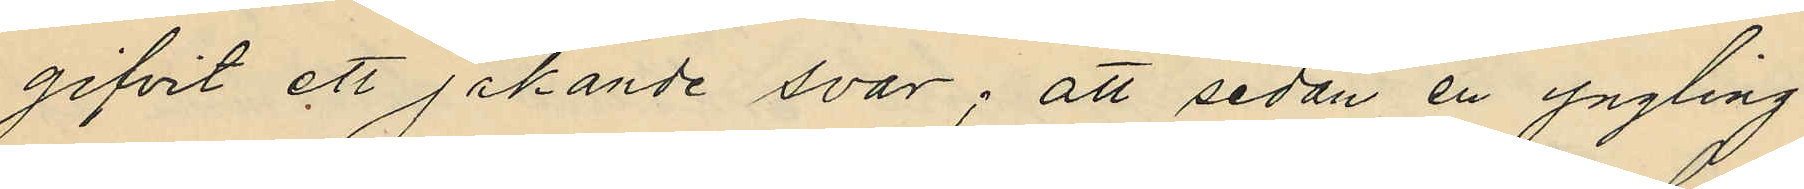gifvit ett jakande svar; att sedan en yngling
